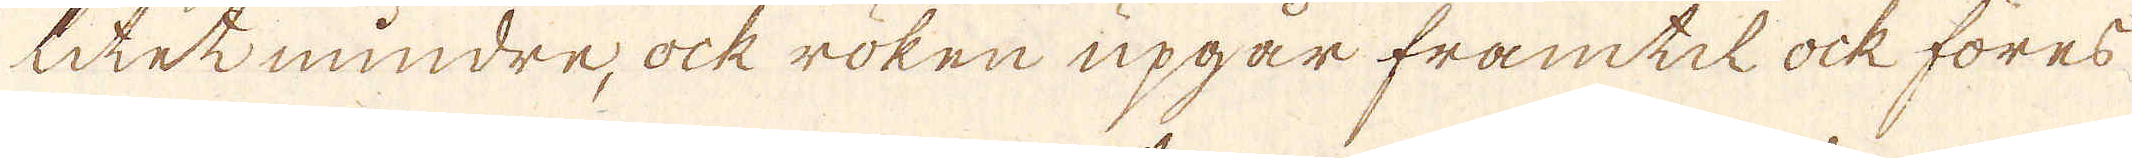litet mindre, ock röken upgår framtil ock föres
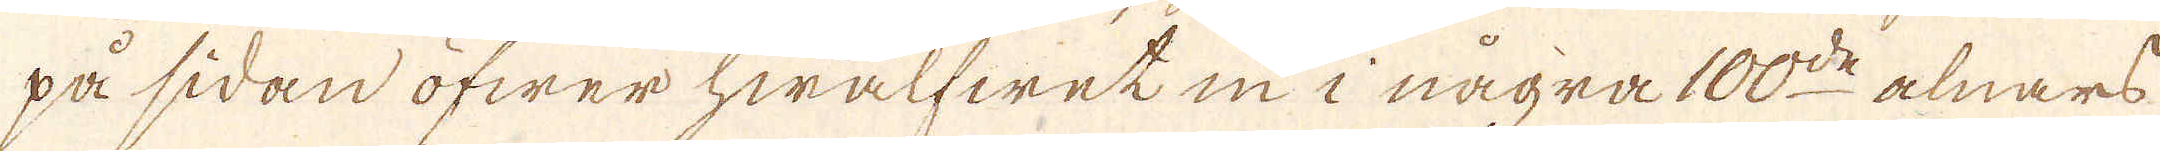på sidan öfwer hwalfwet in i några 100:de alnars
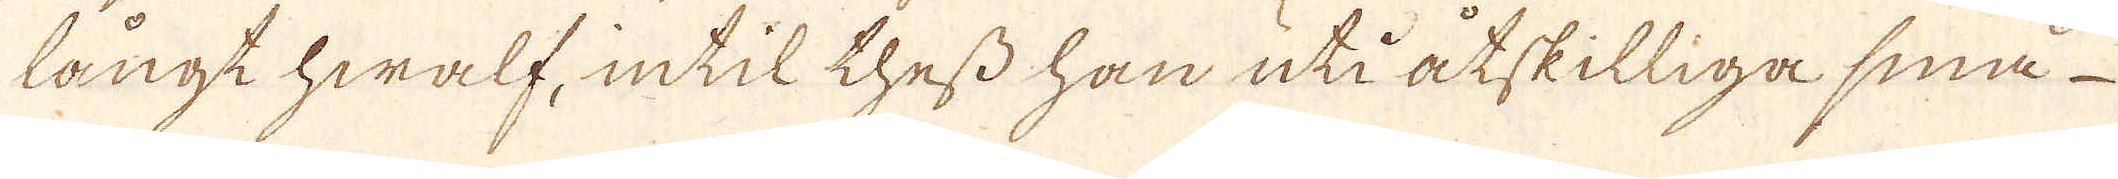långt hwalf, intil thess han uti åtskilliga små
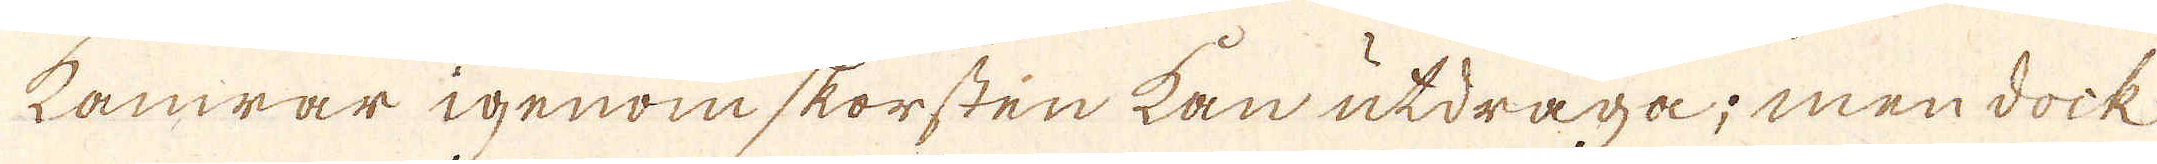Kamrar igenom skorsten kan utdraga; men dock
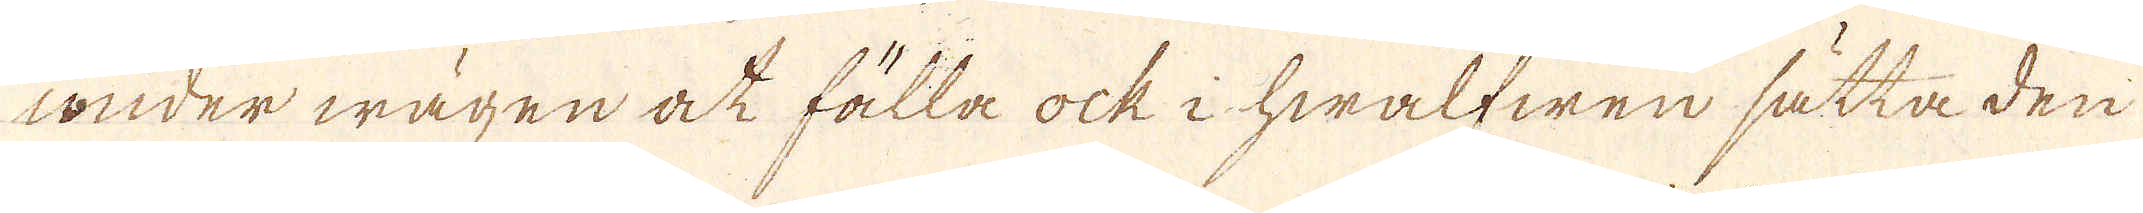wnder wägen oct fälla ock i hwalfwen sätta den
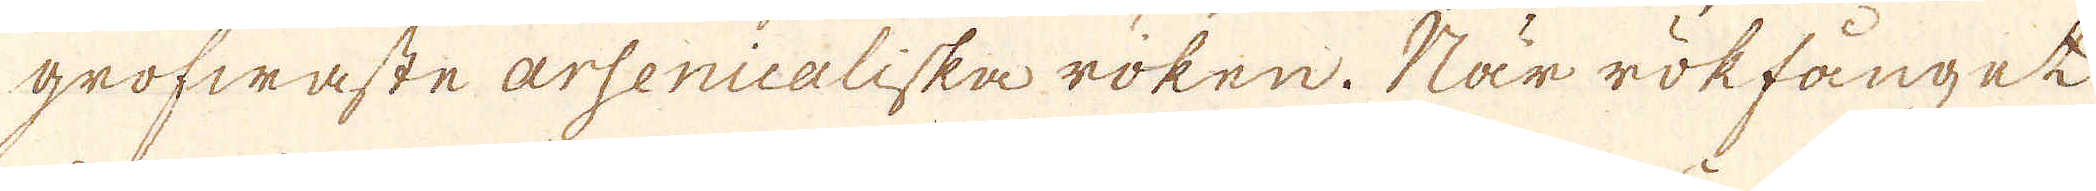grofwaste arsenicaliska roken. När rökfånget
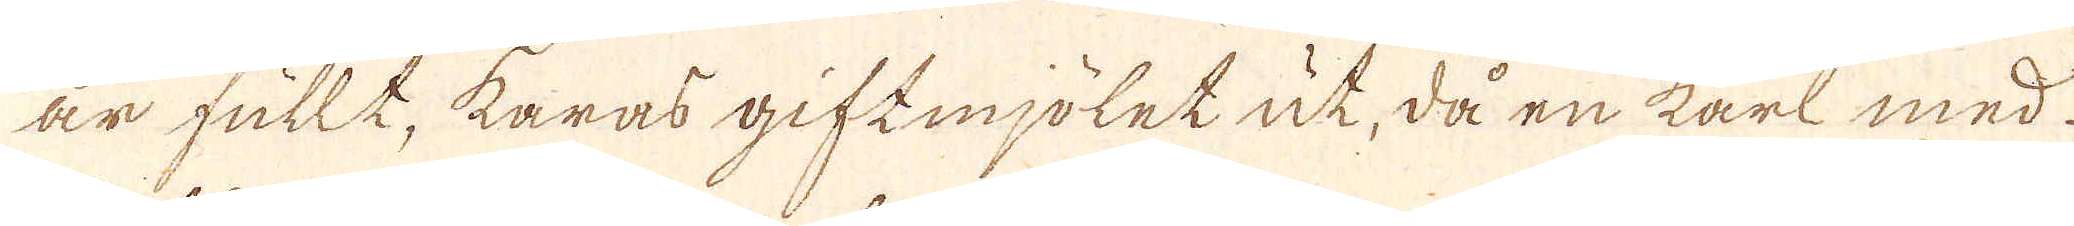är fullt, karas giftmjölet ut, då en karl med
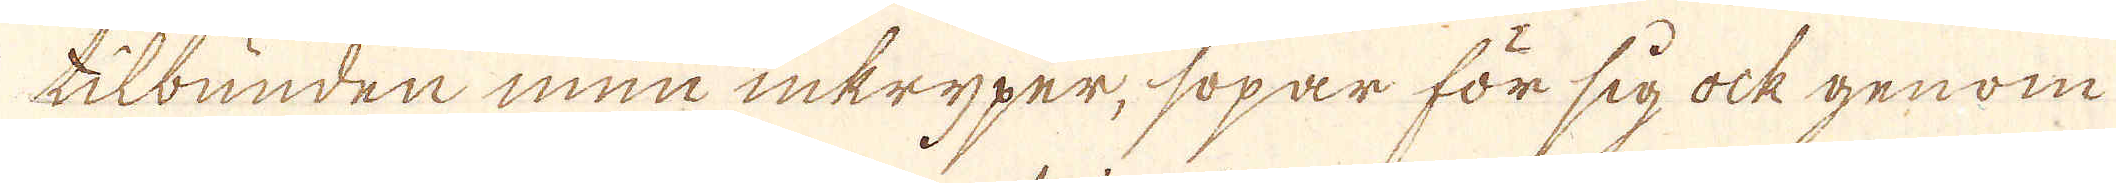tilbunden mun inkryper, sopar för sig ock genom
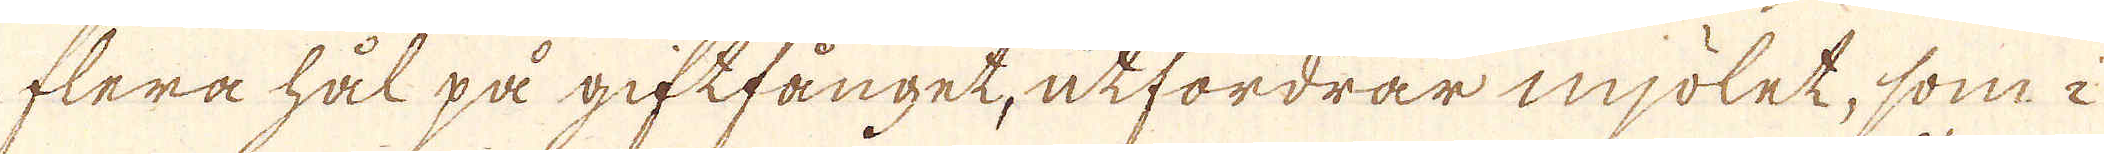flera hål på giftfånget, utfordrar mjölet, som i
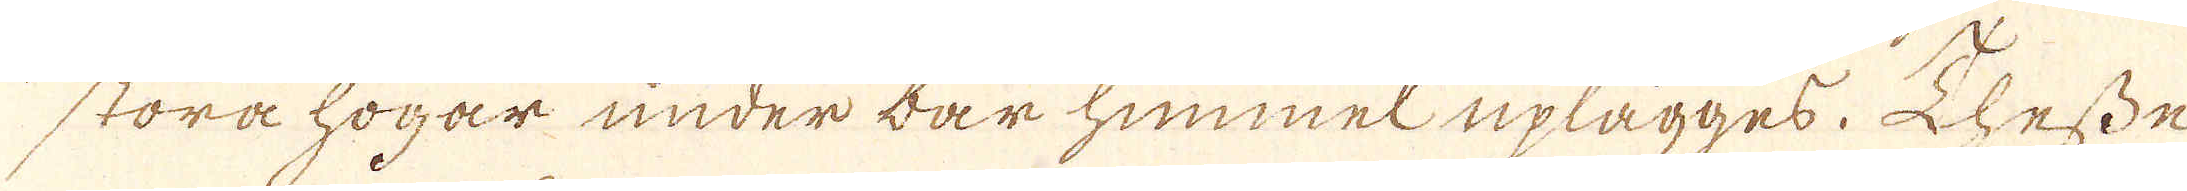störa högar under barhimmel uplägges. Dhesse
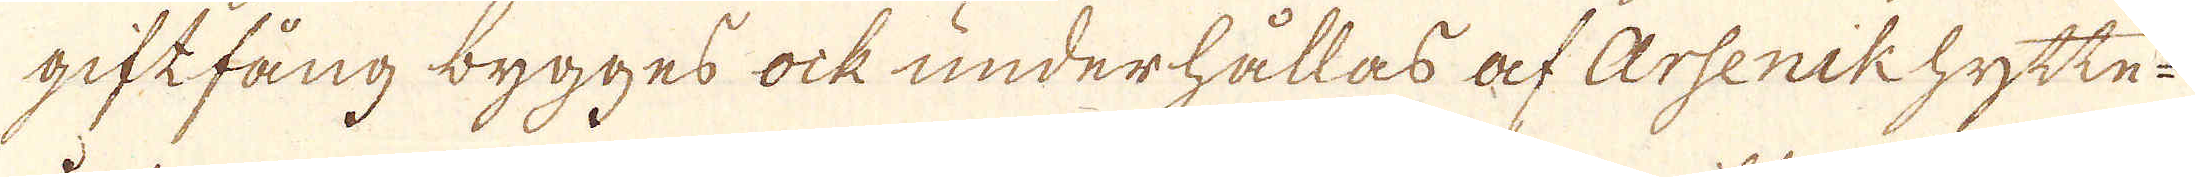giftfång bygges ock underhållas af Arsenikhytte-
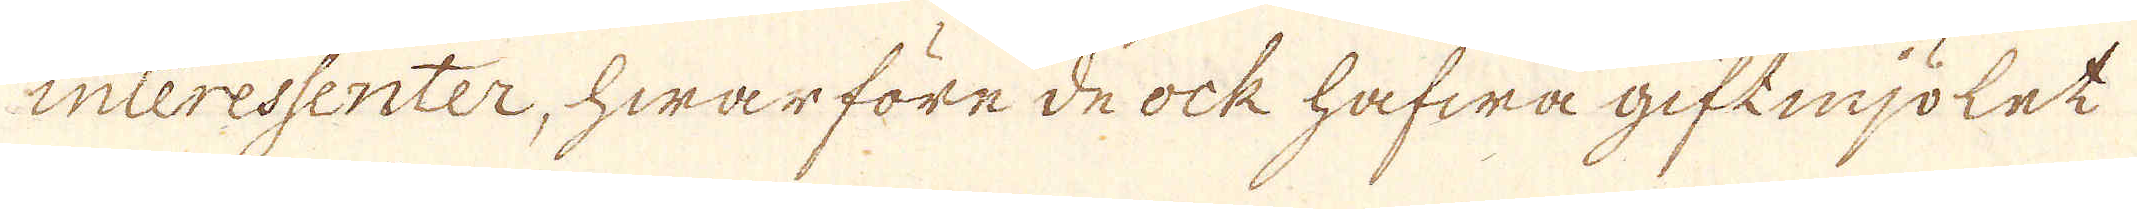interessenter, hwar före de ock hafwa giftmjölet
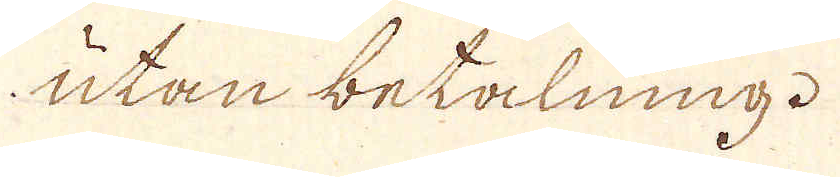utan betalning.
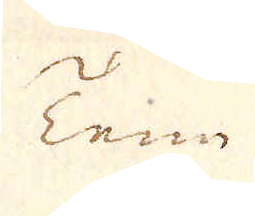Tenn
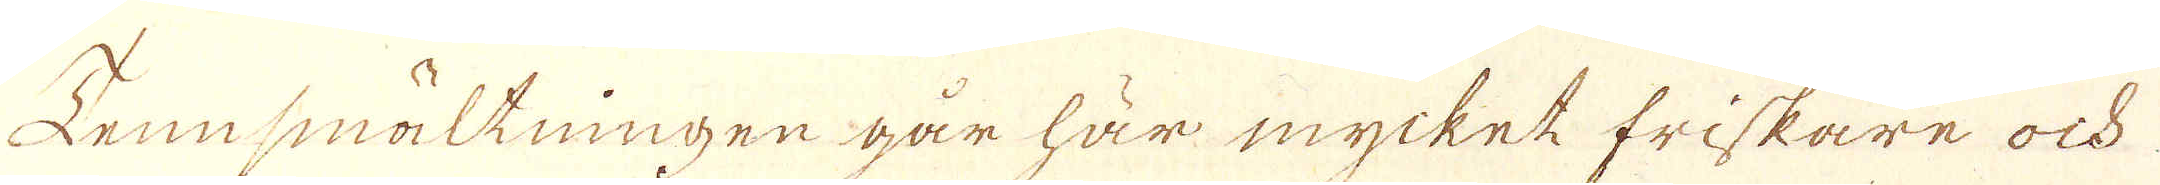Tennsmältningen går här mycket friskare och
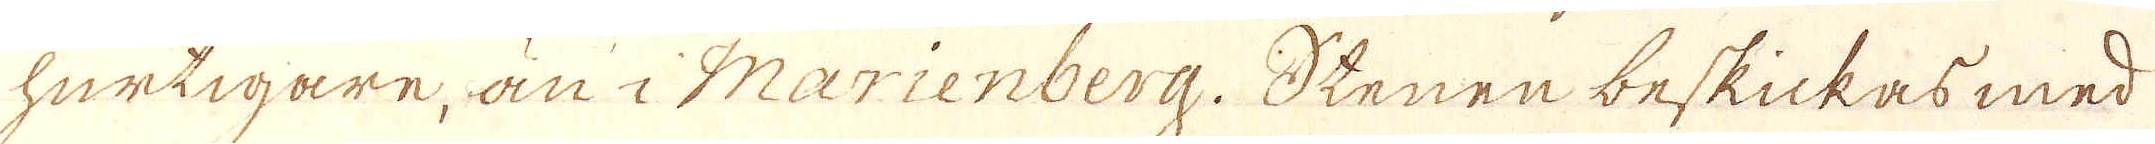hurtigare, än i Marienberg. Stenen beskickas med
